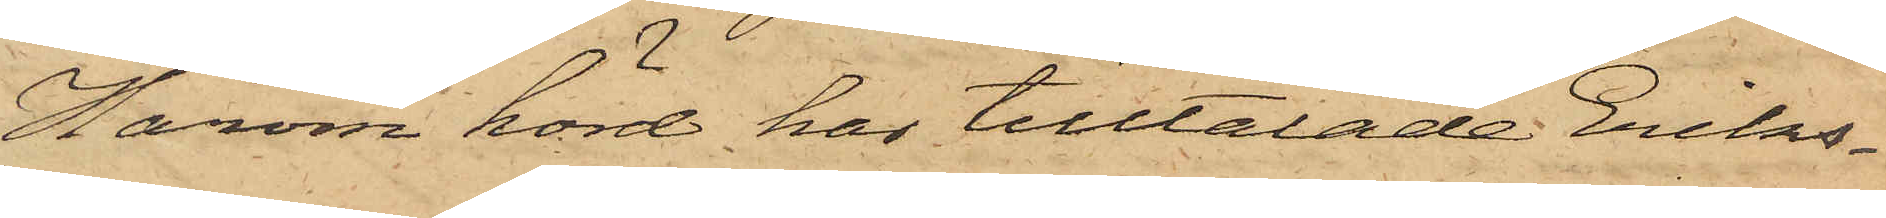Härom hörd har tilltalade Eriks¬
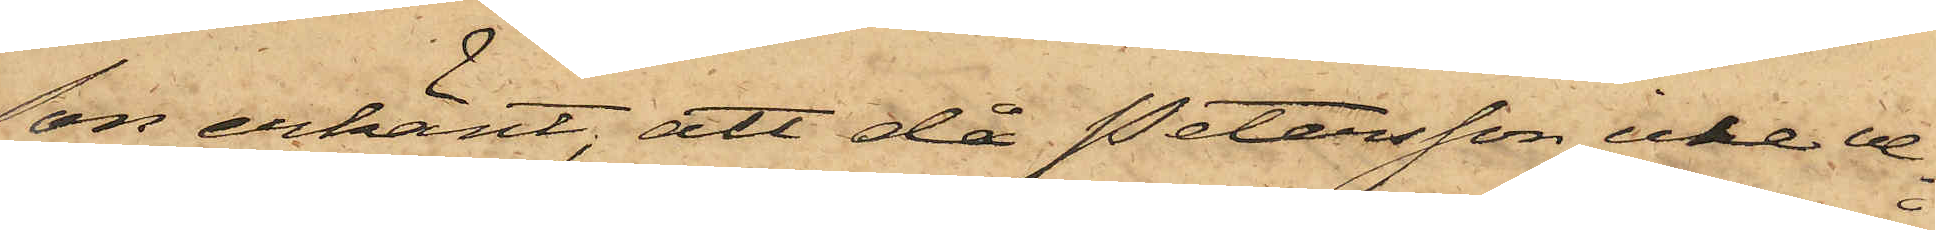son erkänt, att då Petersson icke ve¬
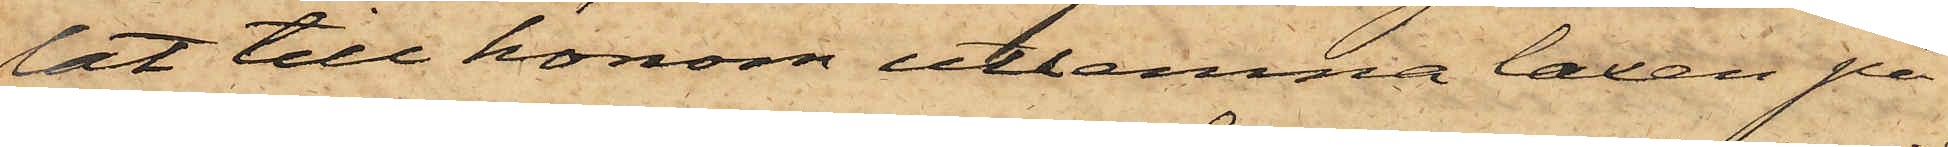lat till honom utlemna laxen på
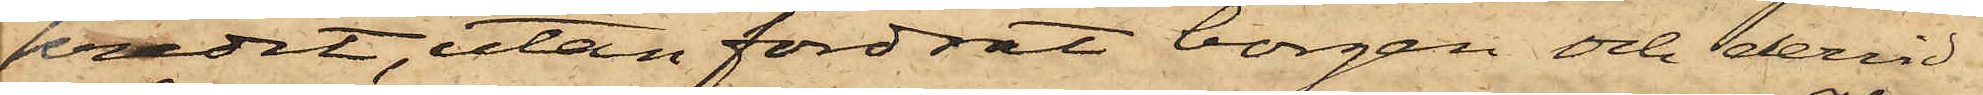kredit, utan fordrat borgen och dervid
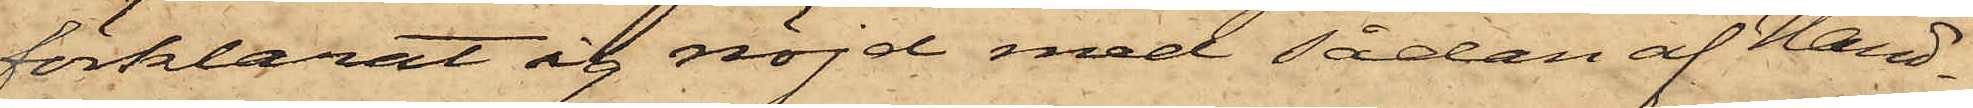förklarat sig nöjd med sådan af Hand¬
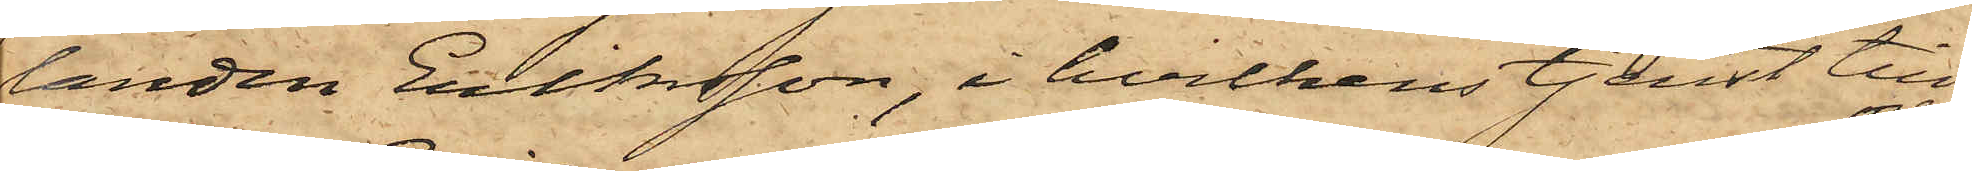landen Eriksson, i hvilkens tjenst till¬
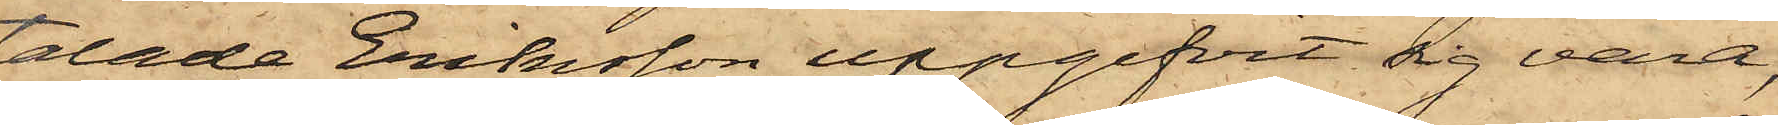talade Eriksson uppgifvit sig vara,
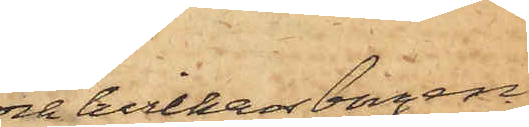och hvilken borgen
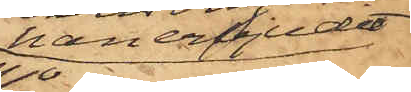han erbjudit
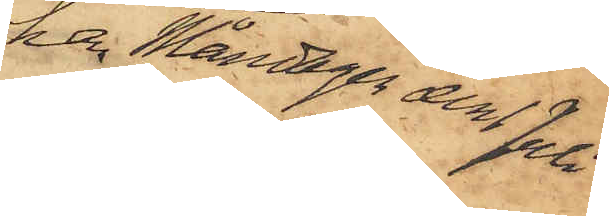har Måndagen den 1 Juli
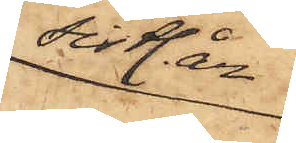sistl. år
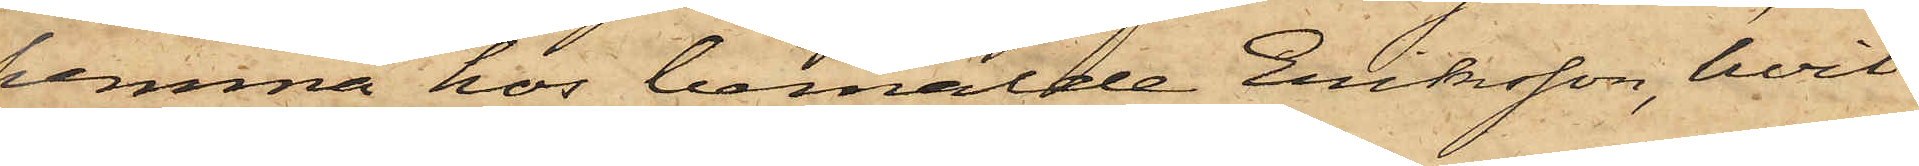hemma hos bemälde Eriksson, hvil¬
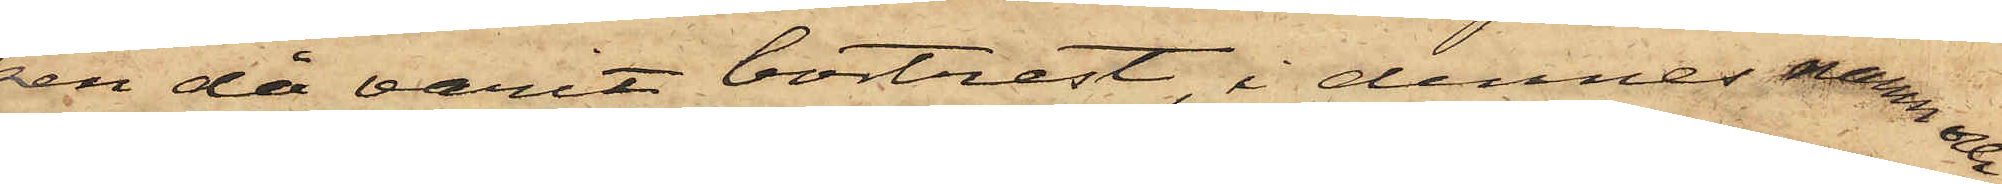ren då varit bortrest, i dennes namn och
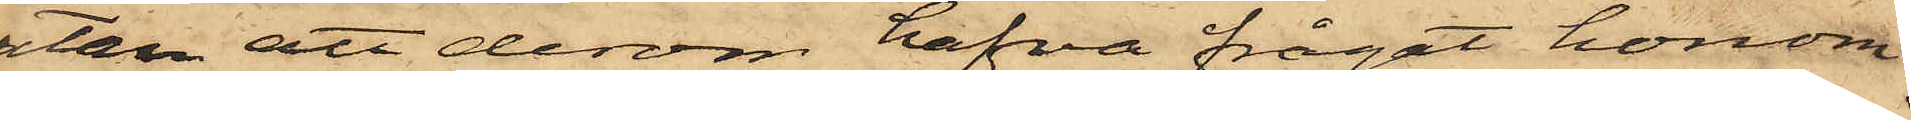utan att derom hafva frågat honom
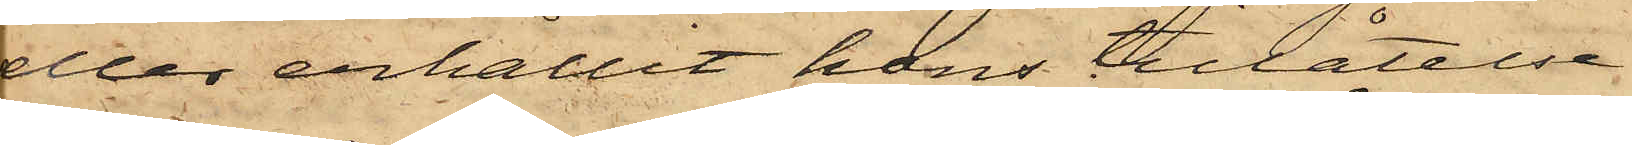eller erhållit hans tillåtelse
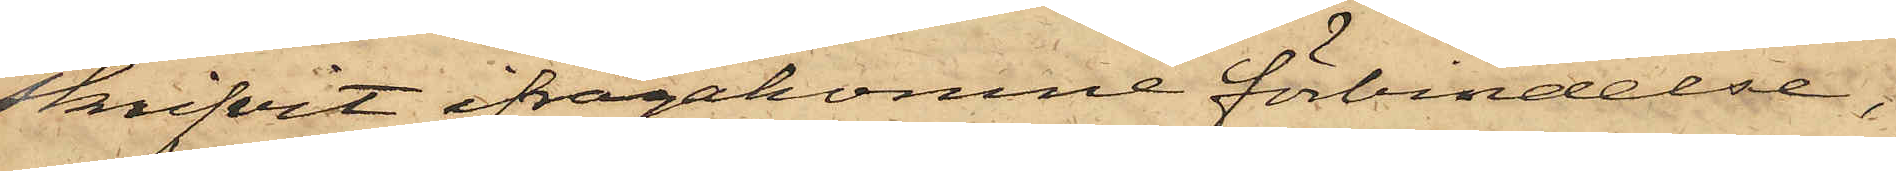skrifvit ifrågakomne förbindelse,
